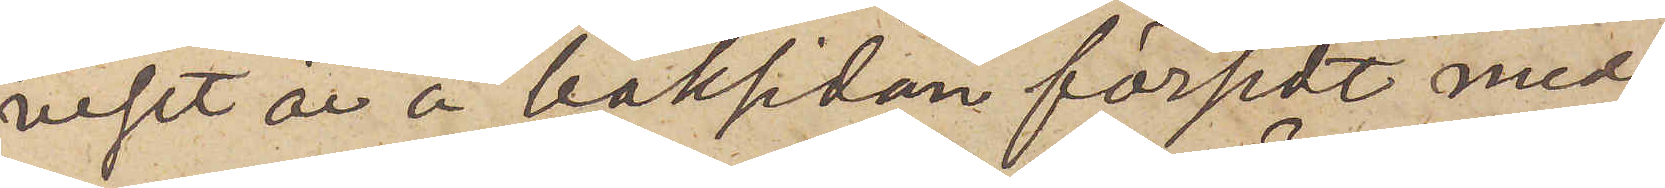viset är å baksidan försedt med
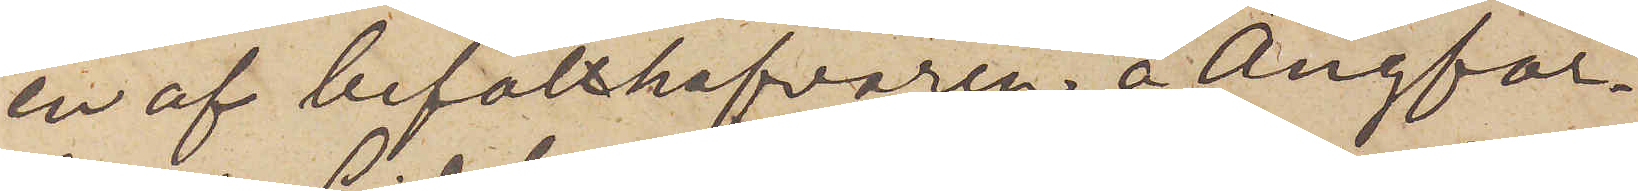en af befälhafvaren å Ångfar¬
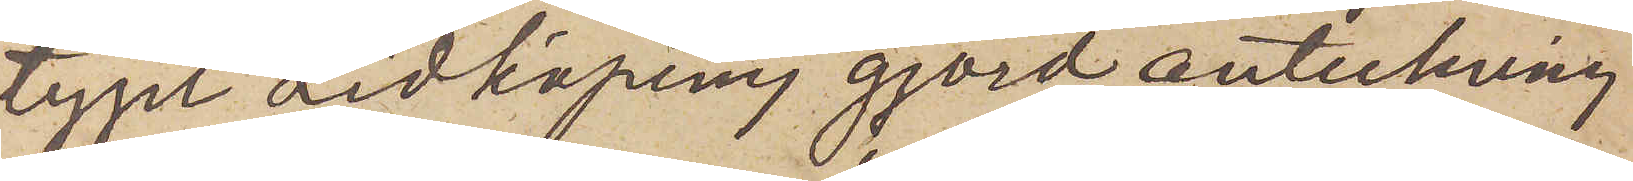tyget Lidköping gjord anteckning
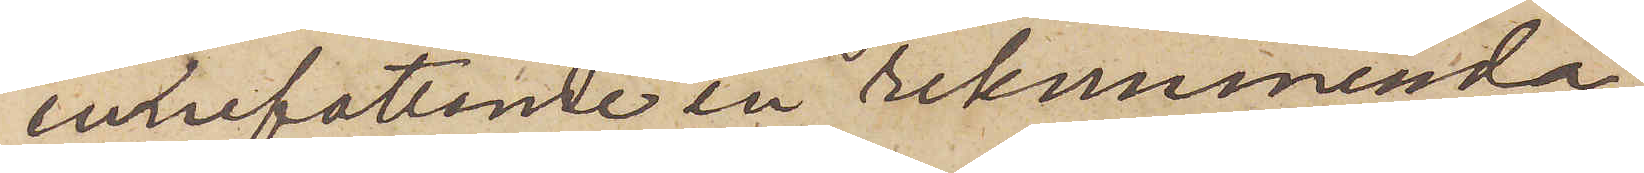innefattande en rekommenda¬
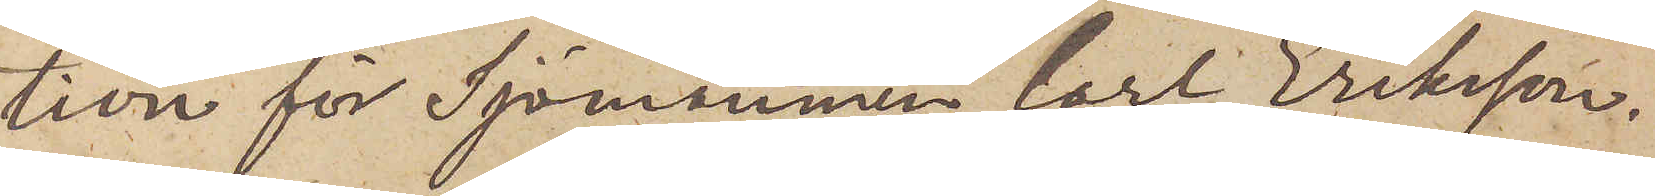tion för Sjömannen Carl Eriksson.
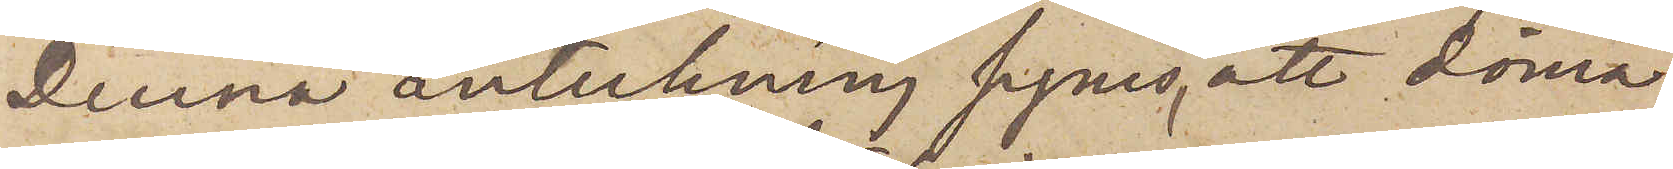Denna anteckning synes, att döma
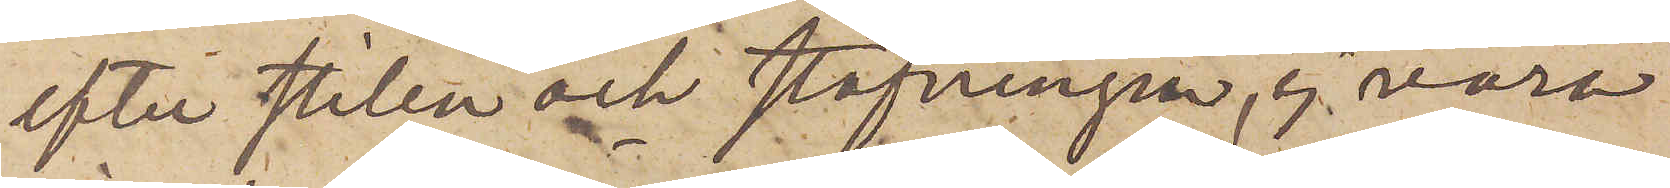efter stilen och stafningen, ej vara
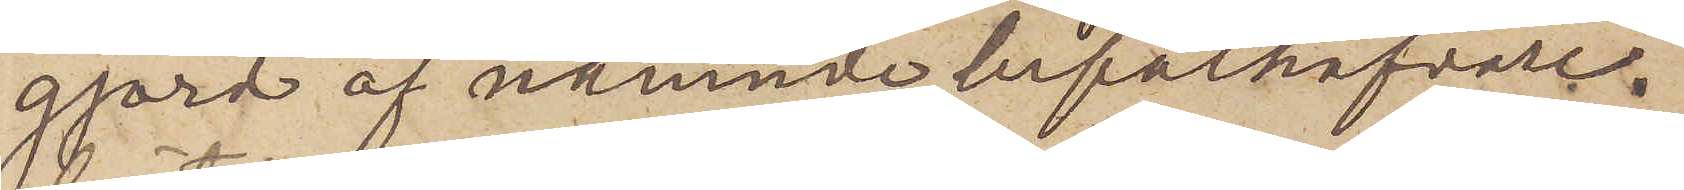gjord af nämnde befälhafvare.
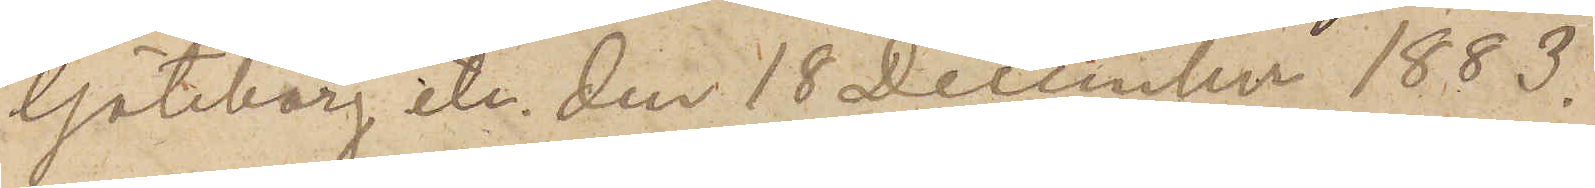Göteborg etc. den 18 December 1883.
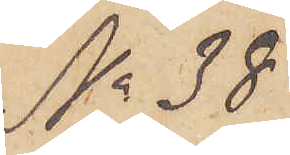No 38
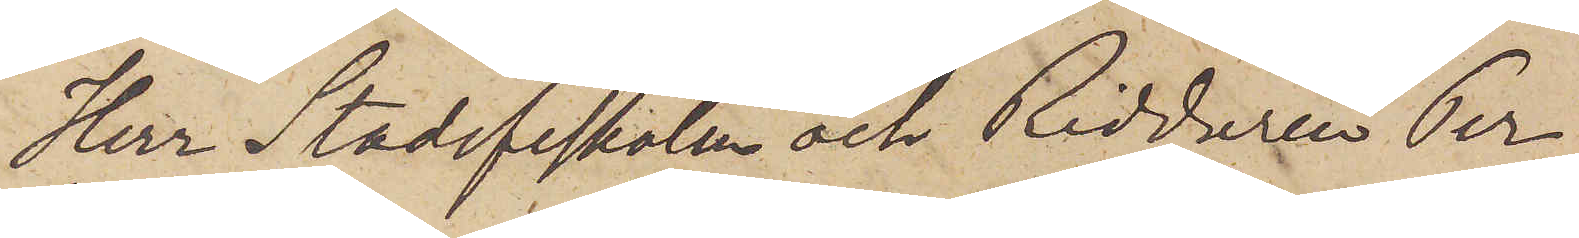Herr Stadsfiskalen och Riddaren Per
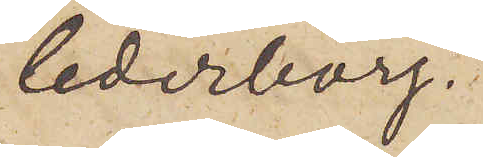Cederborg.
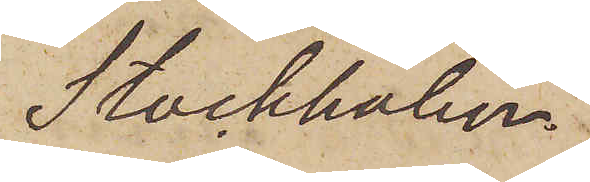Stockholm.
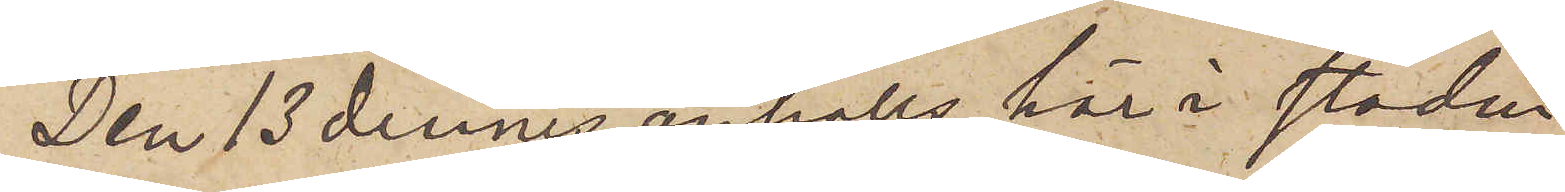Den 13 dennes anhölls här i staden
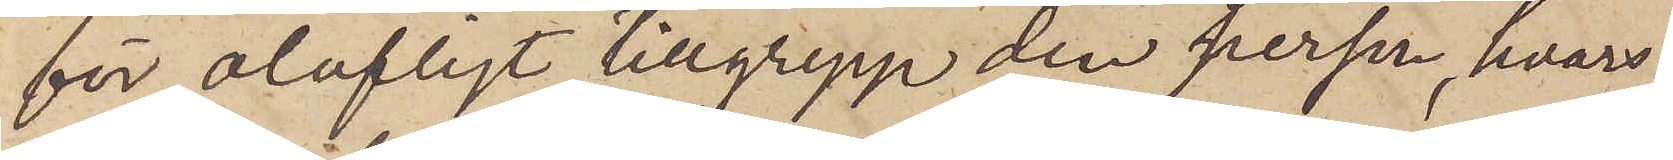för olofligt tillgrepp den person, hvars
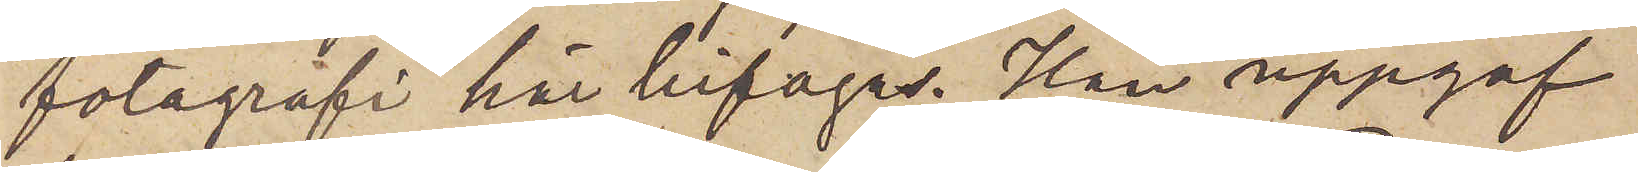fotografi här bifogas. Han uppgaf
